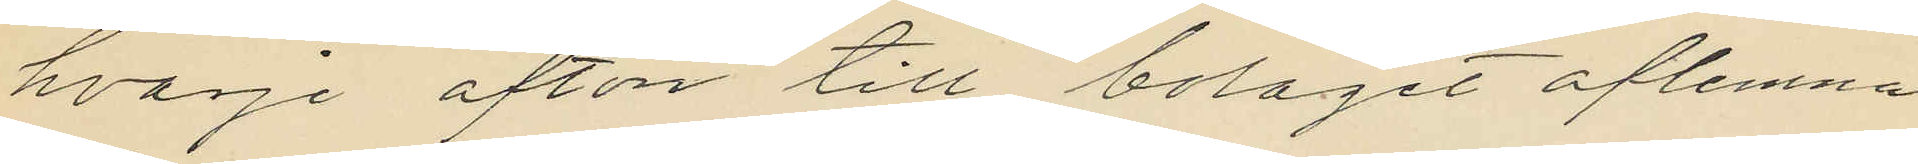hvarje afton till bolaget aflemna
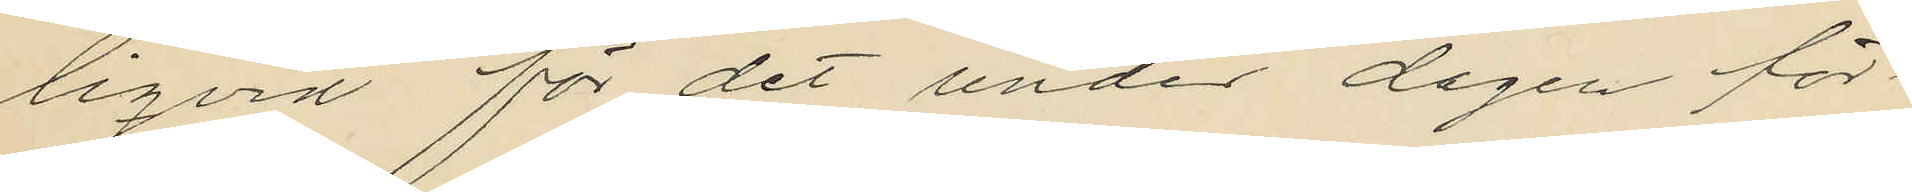liqvid för det under dagen för¬
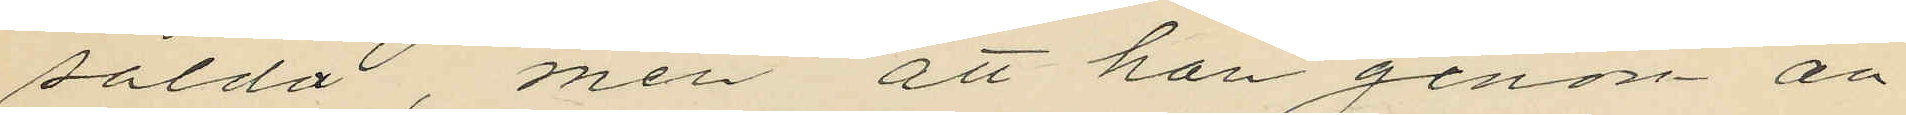sålda, men att han genom an¬
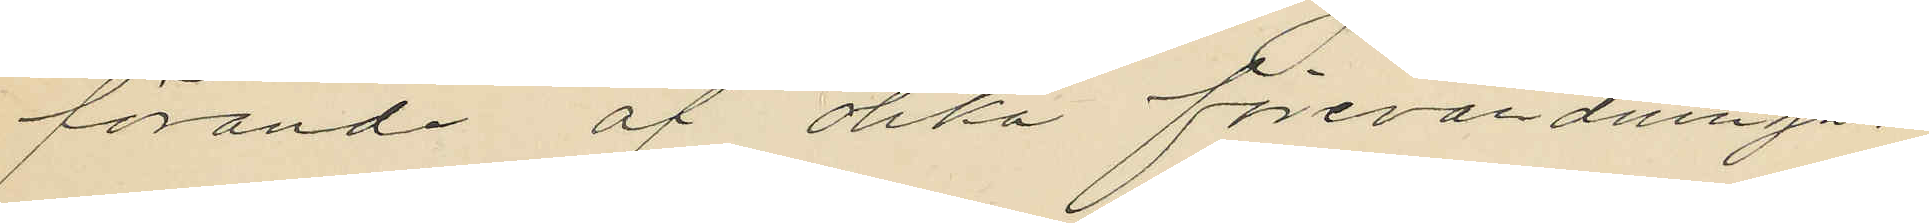förande af olika förevärdningar
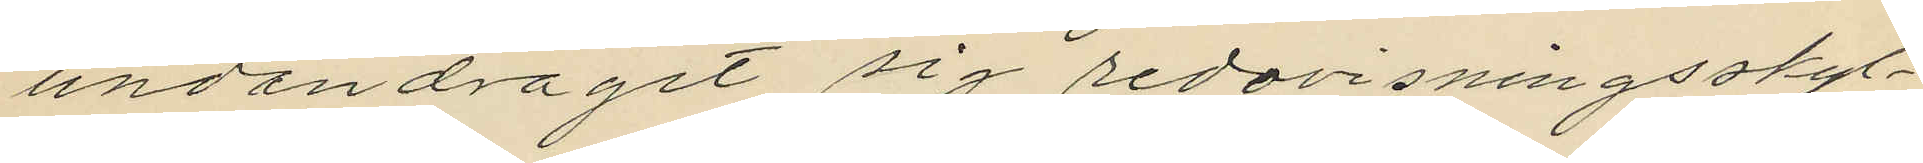undandraget sig redovisningsskyl¬
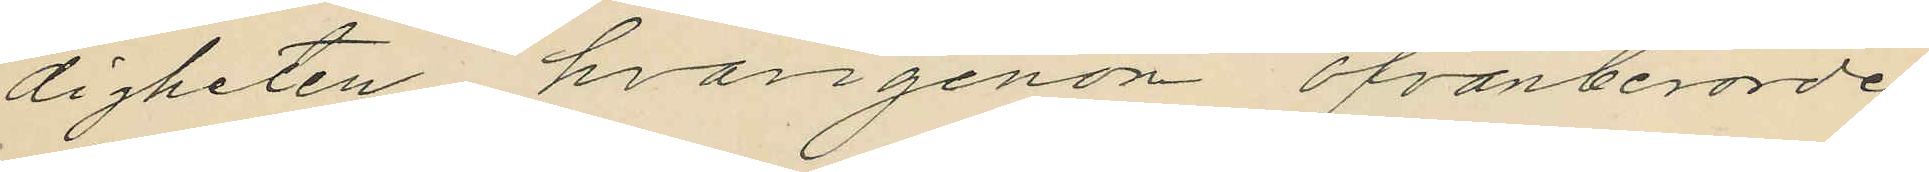digheten, hvargenom ofvanberörde
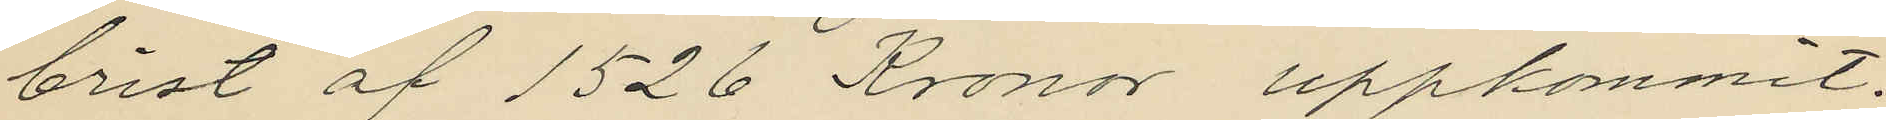brist af 1526 Kronor uppkommit.
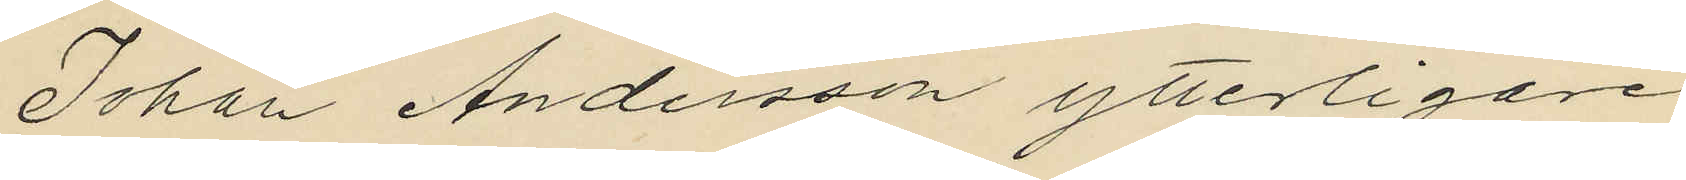Johan Andersson ytterligare
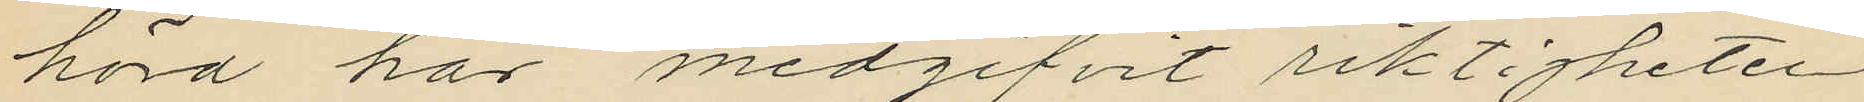hörd har medgifvit riktigheten
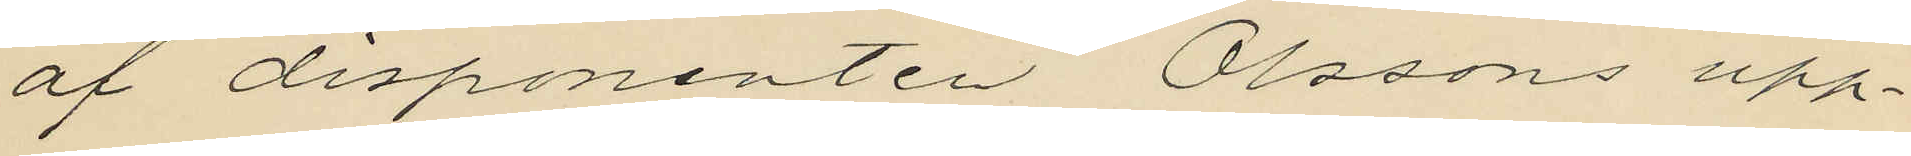af disponenten Olssons upp¬
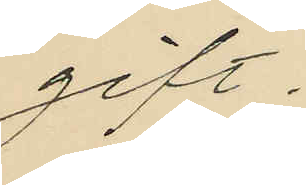gift.
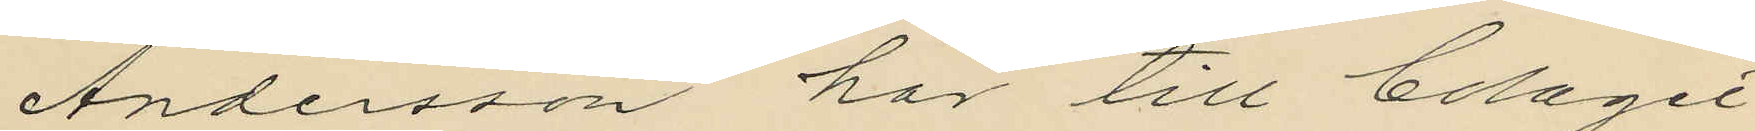Andersson har till bolaget
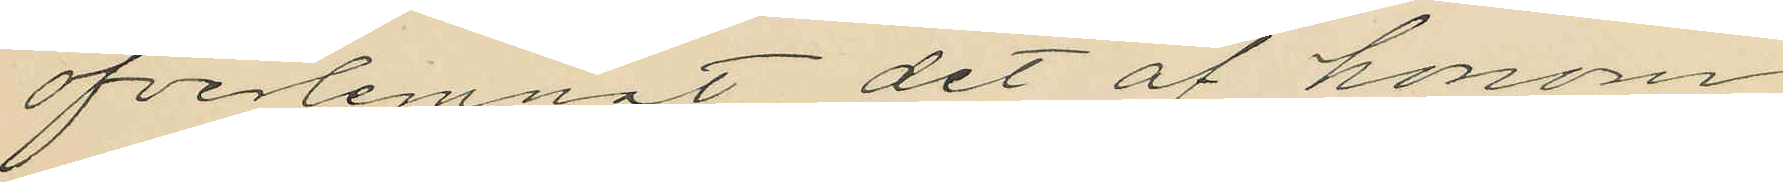öfverlemnat det af honom
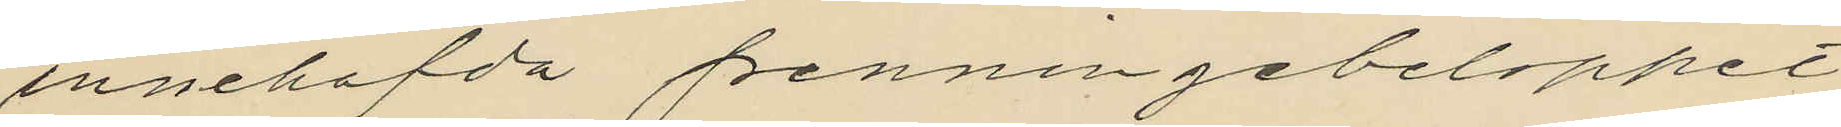innehafda penningebeloppet
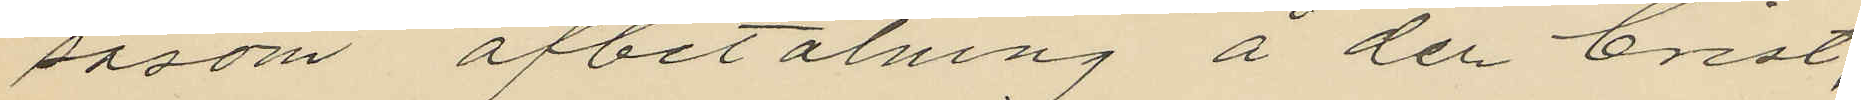såsom afbetalning å den brist,
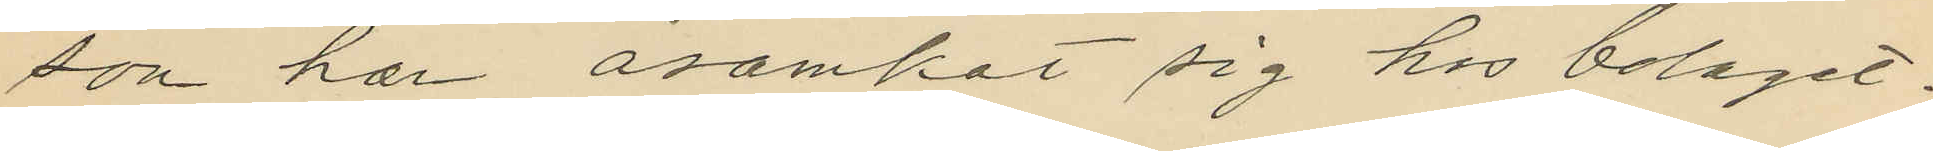som han åsamkat sig hos bolaget.
